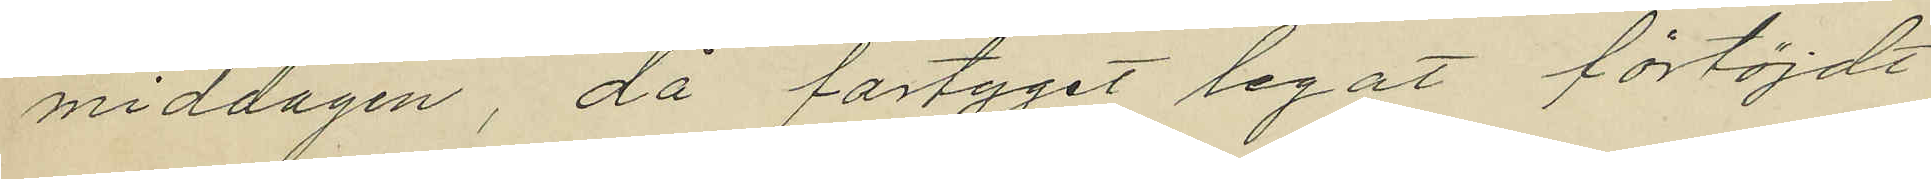middagen, då fartyget legat förtöjdt
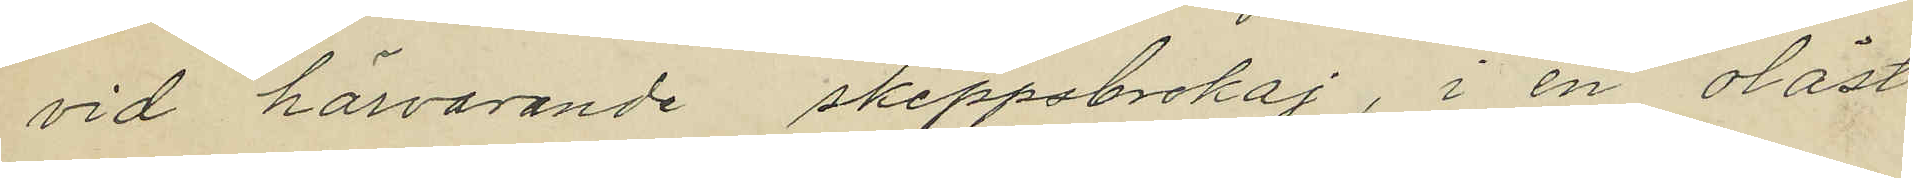vid härvarande skeppsbrokaj, i en olåst
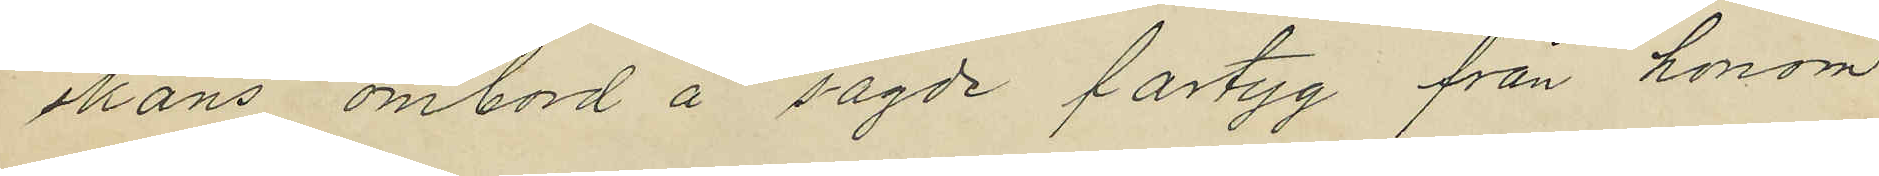skans ombord å sagde fartyg från honom
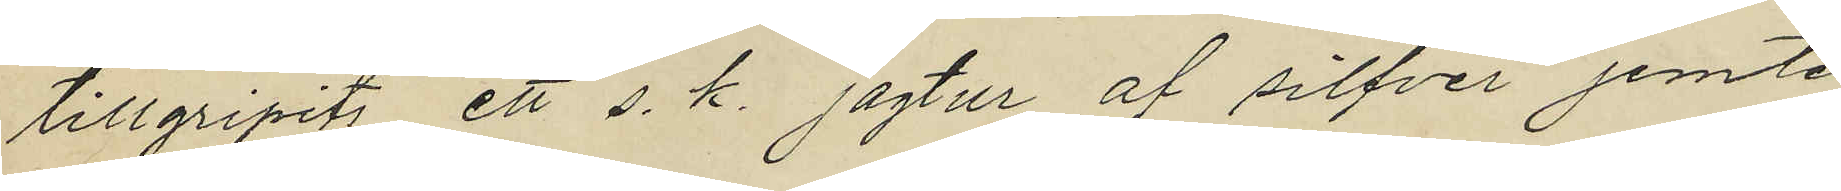tillgripits ett s. k. jagtur af silfver jemte
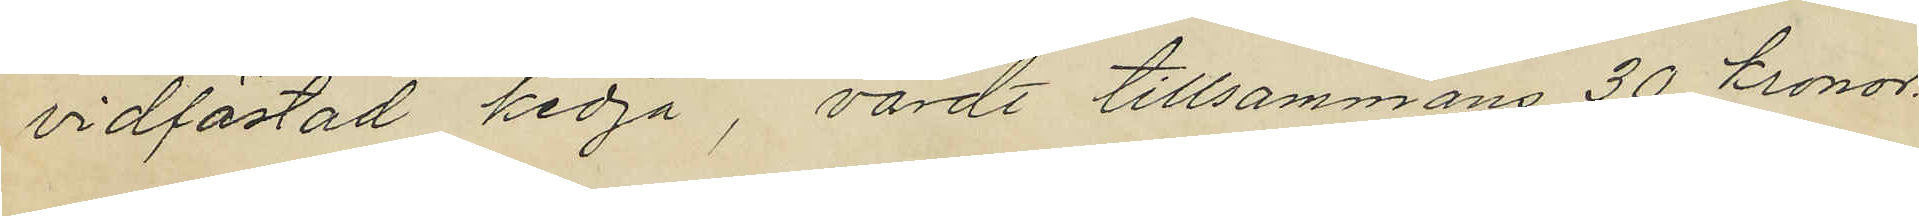vidfästad kedja, värdt tillsammans 30 kronor.
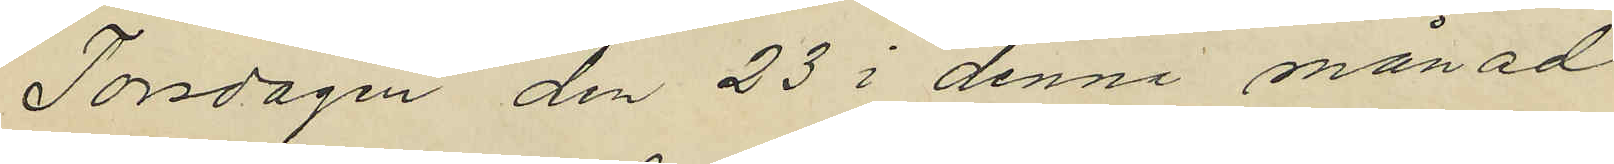Torsdagen den 23 i denna månad
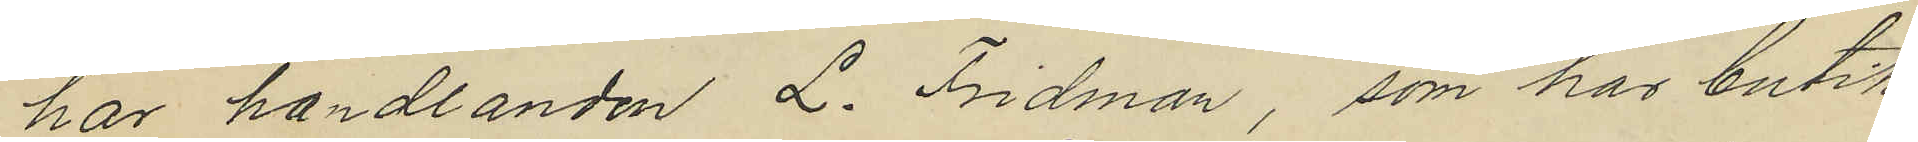har handlanden L. Fridman, som har butik
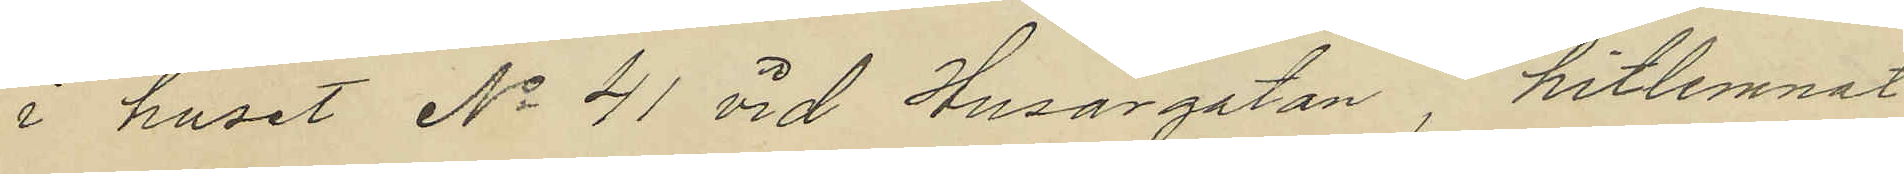i huset No 41 vid Husargatan, hitlemnat
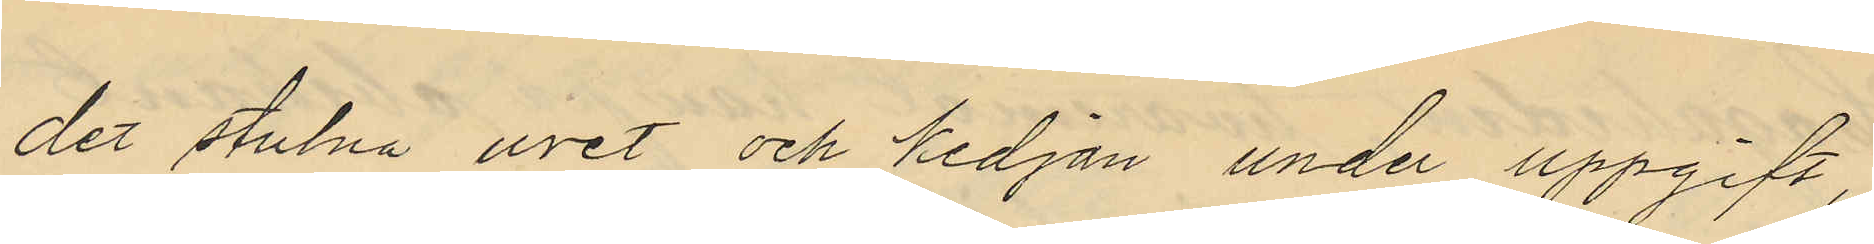det stulna uret och kedjan under uppgift,
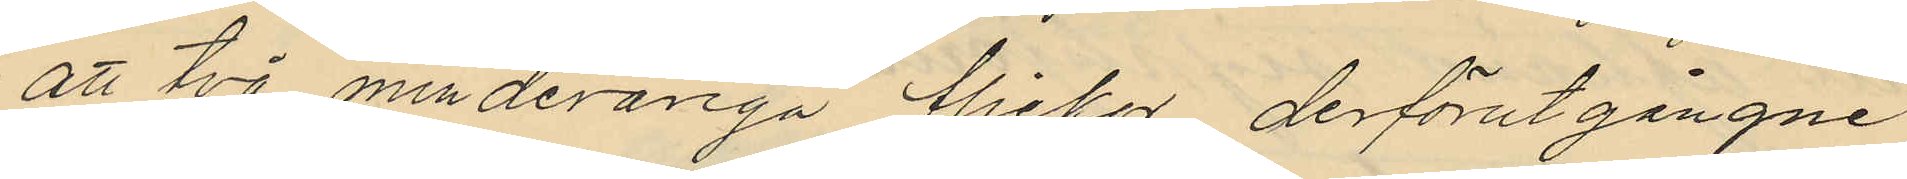att två minderåriga flickor derförutgångne
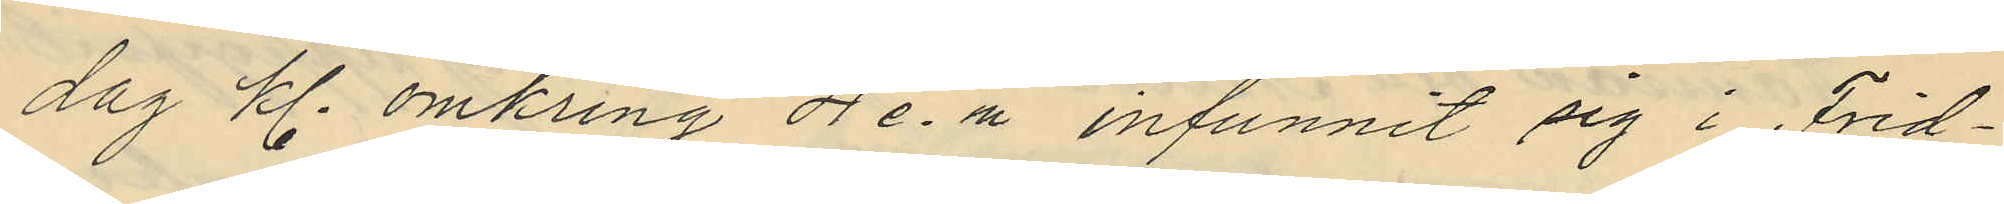dag kl. omkring 4 e.m infunnit sig i Frid¬
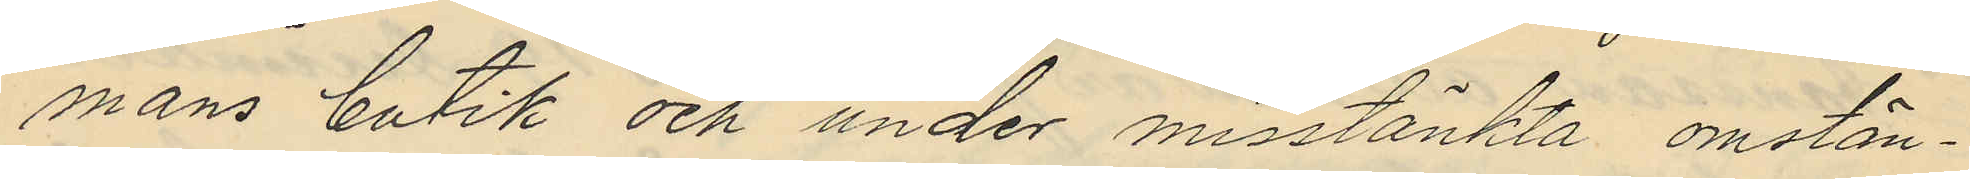mans butik och under misstänkta omstän¬
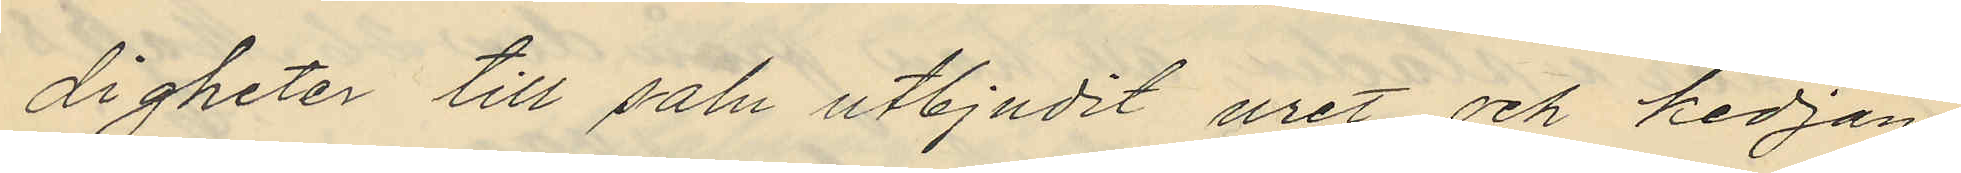digheter till salu utbjudit uret och kedjan
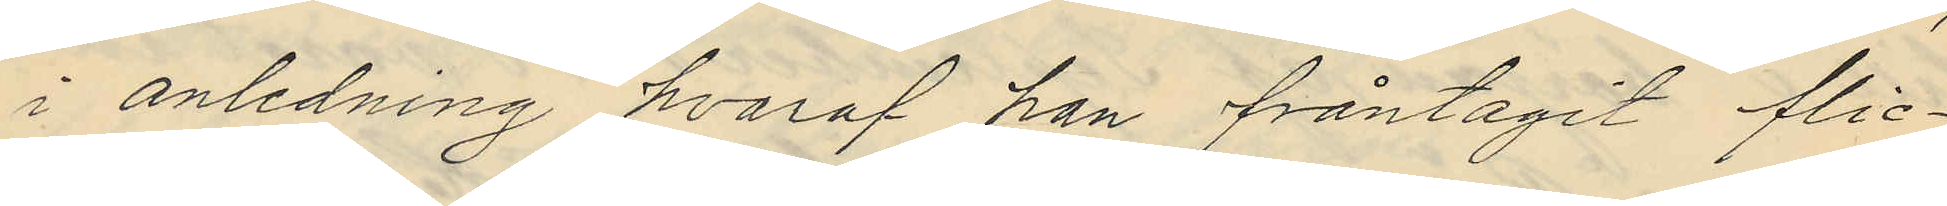i anledning hvaraf han fråntagit flic¬
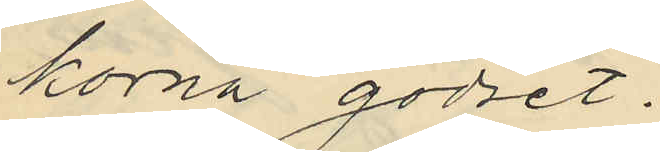korna godset.
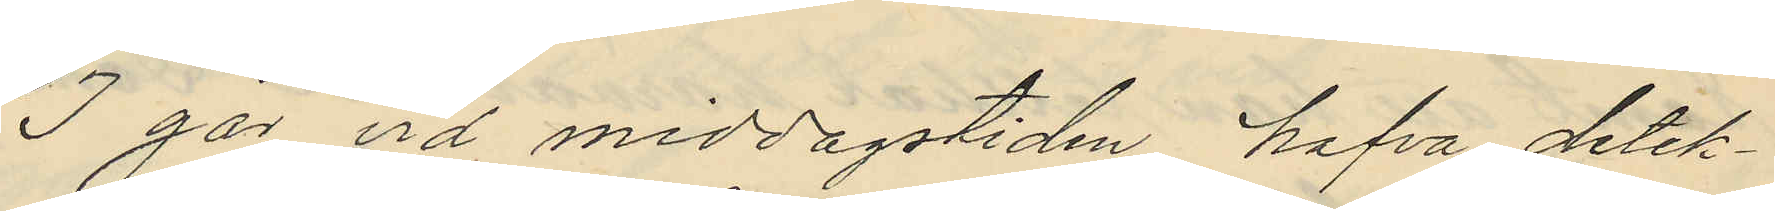I går vid middagstiden hafva detek¬
